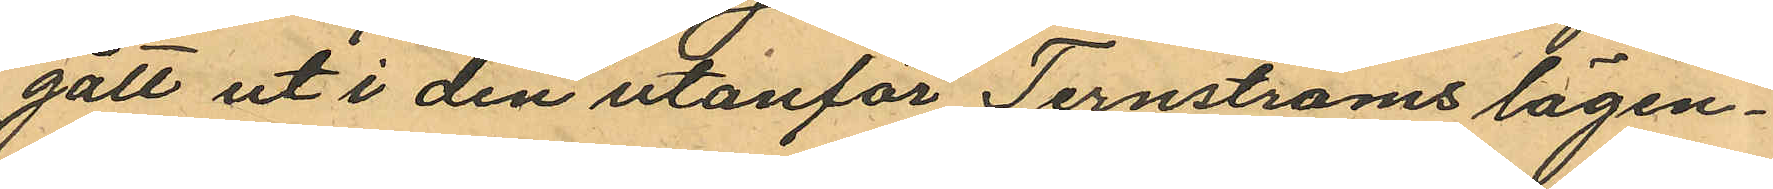gått ut i den utanför Ternströms lägen¬
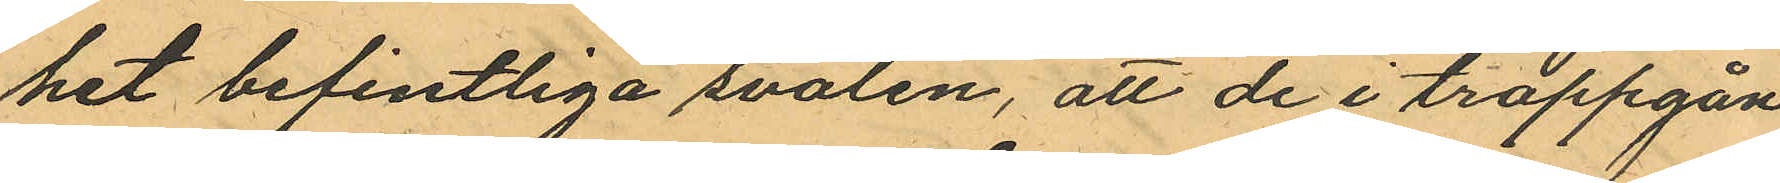het befintliga svalen, att de i trappgån¬
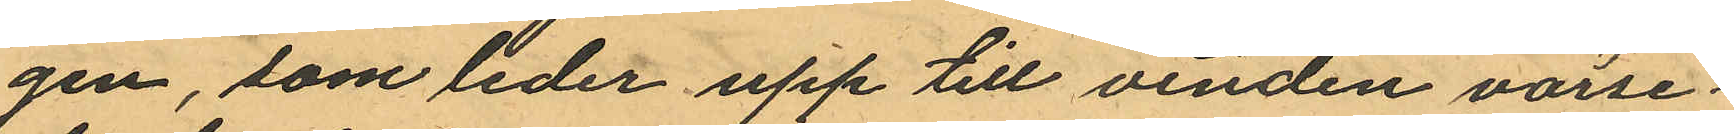gen, som leder upp till vinden varse¬
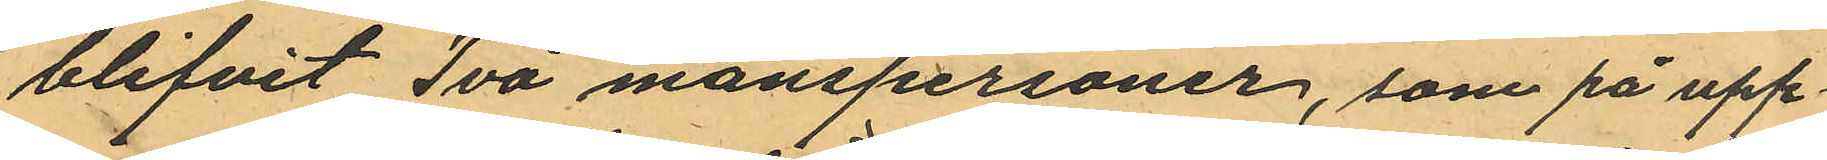blifvit Två manspersoner, som på upp¬
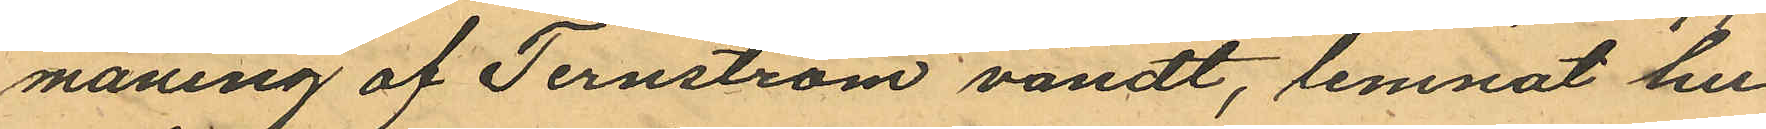maning af Ternström vändt, lemnat hu¬
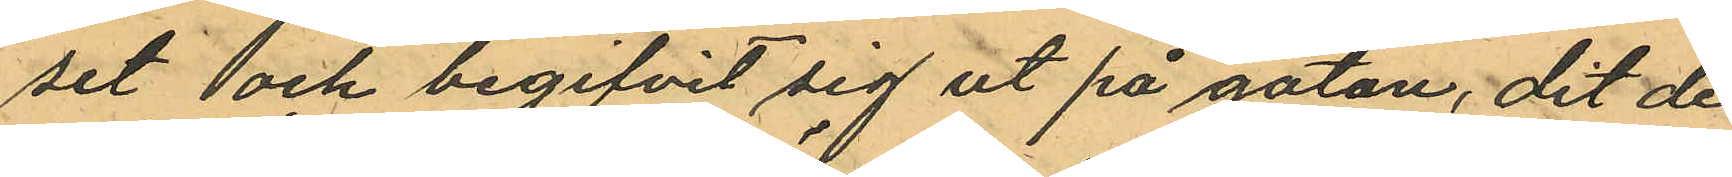set och begifvit sig ut på gatan, dit de
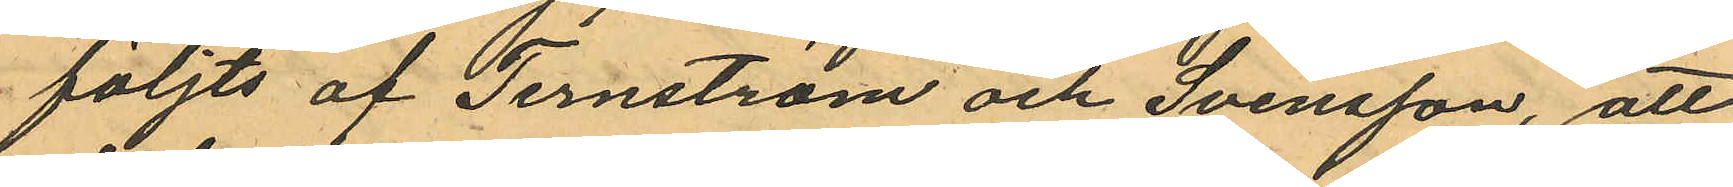följts af Ternström och Svensson, att
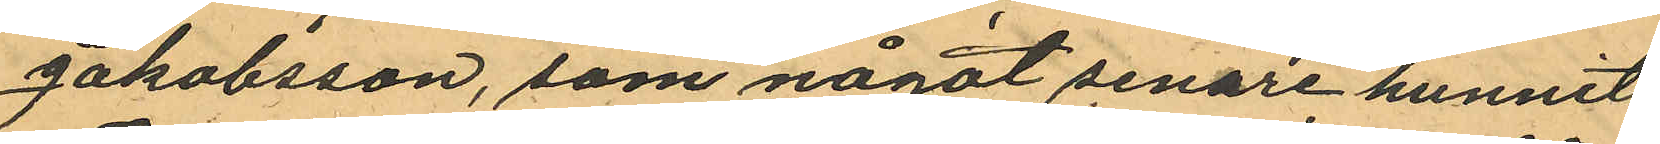Jakobsson, som något senare hunnit
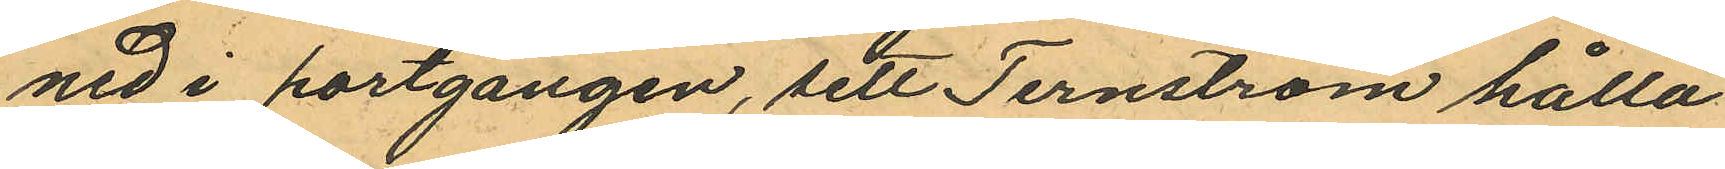ned i portgången, sett Ternström hålla
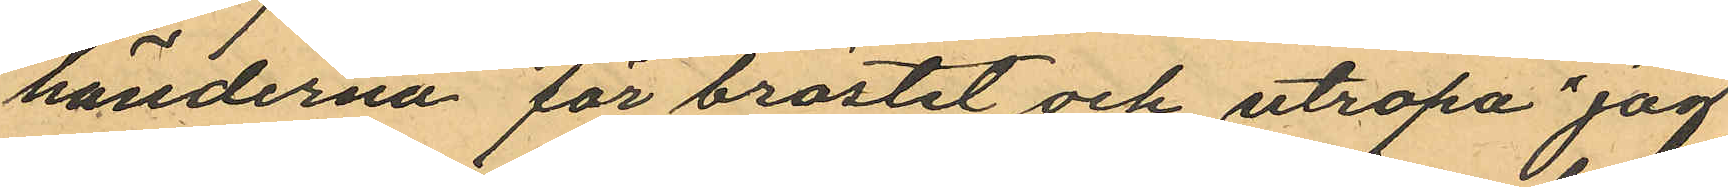händerna för bröstet och utropa "jag
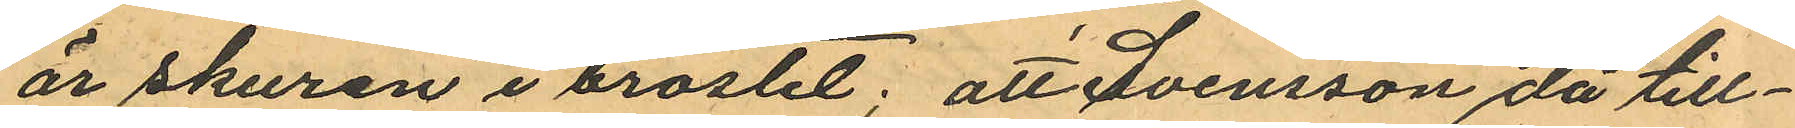är skuren i bröstet; att Svensson då till¬
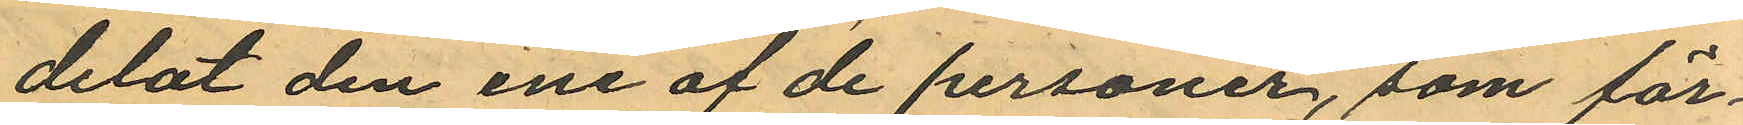delat den ene af de personer, som för¬
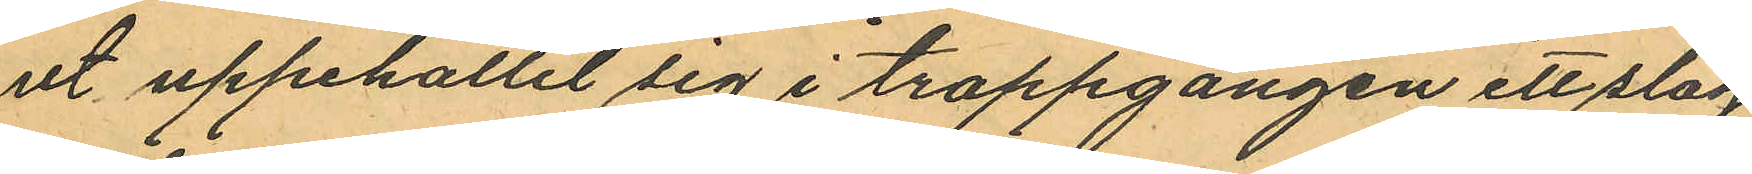ut uppehållit sig i trappgången ett slag
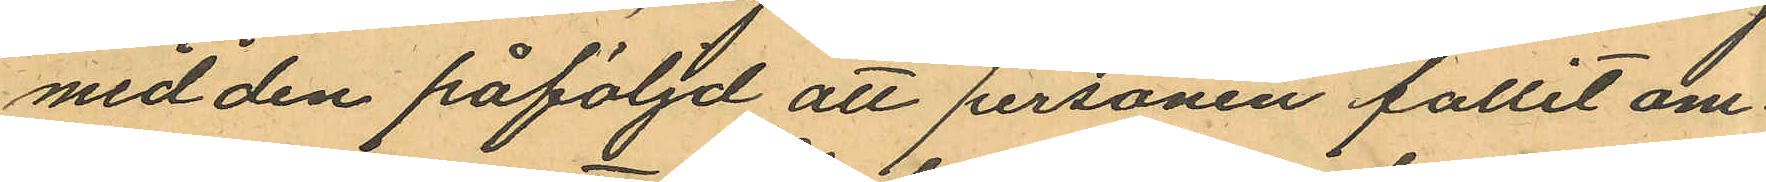med den påföljd att personen fallit om¬
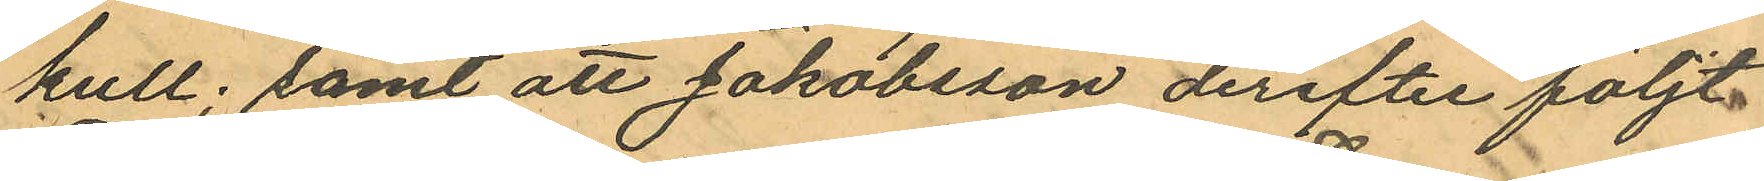kull; samt att Jakobsson derefter följt
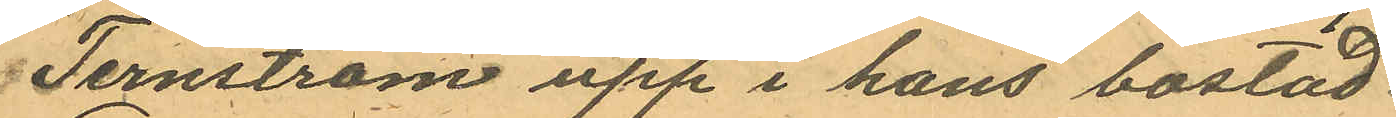Ternström upp i hans bostad.
